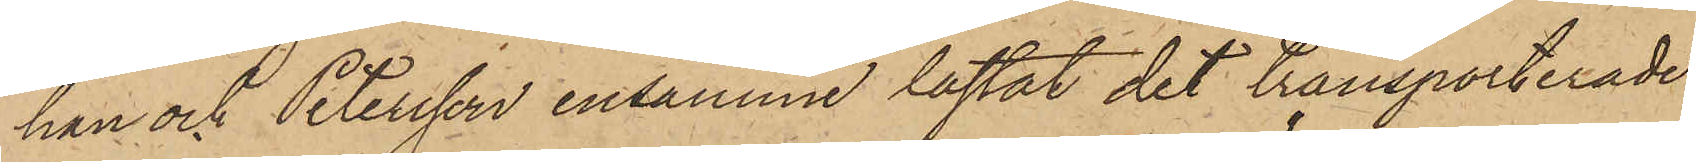han och Petersson ensamma lastat det transporterade
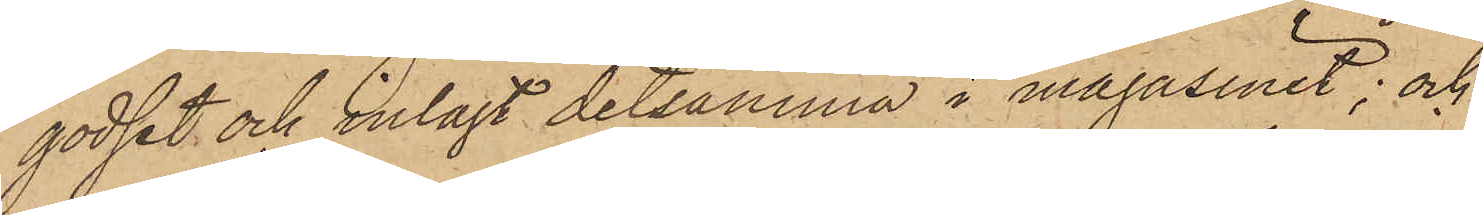godset och inlagt detsamma i magasinet; och
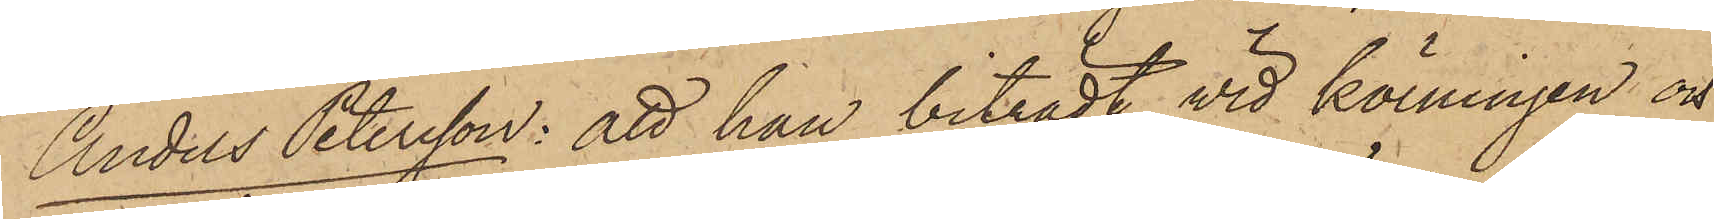Anders Petersson: att han biträdt vid körningen och
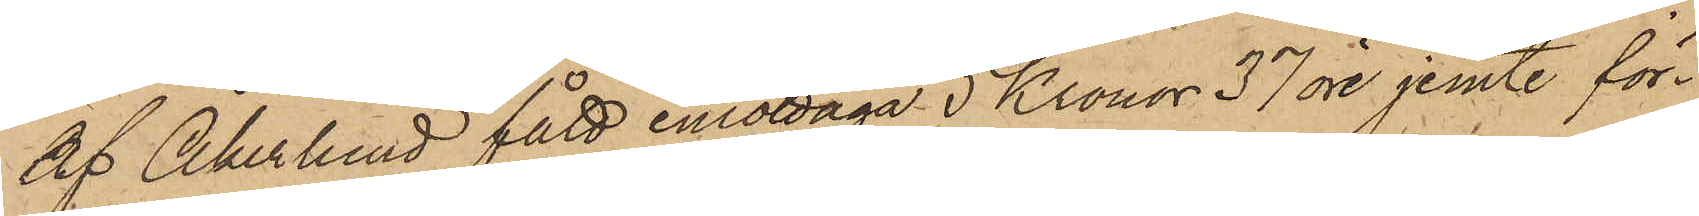af Åkerlund fått emottaga 5 Kronor 37 öre jemte för¬
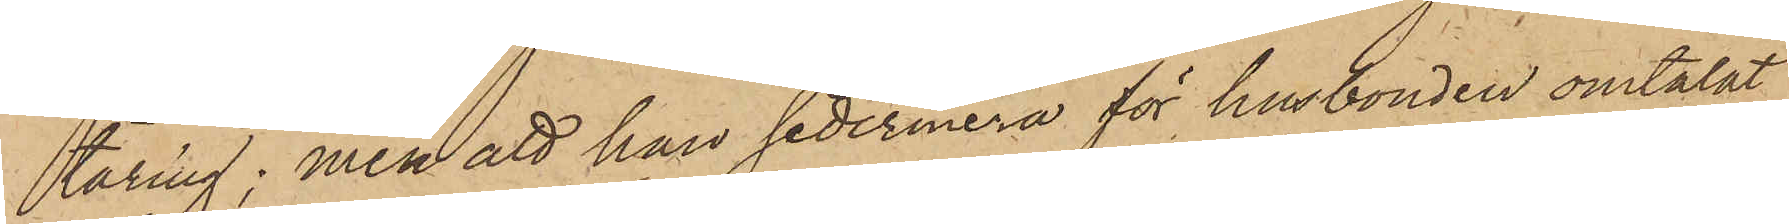täring; men att han sedermera för husbonden omtalat
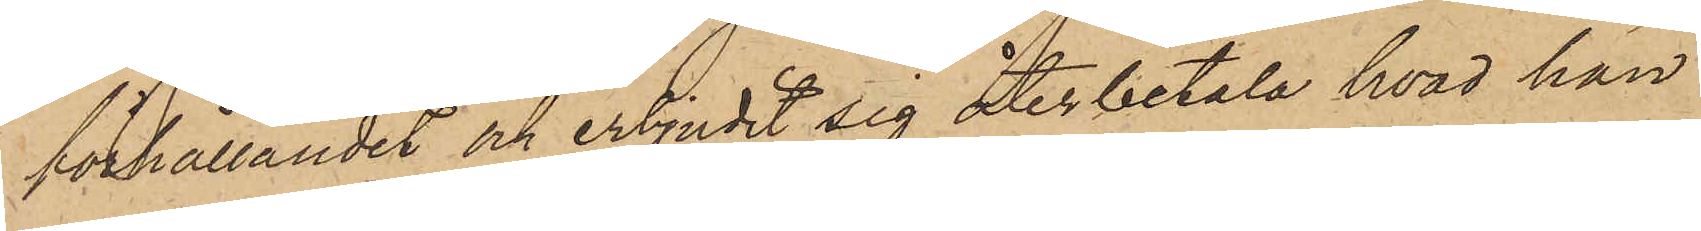förhållandet och erbjudit sig återbetala hvad han
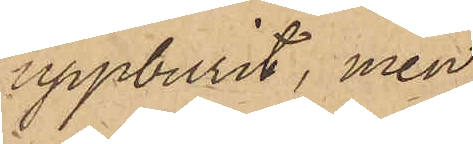uppburit, men
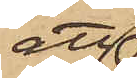att
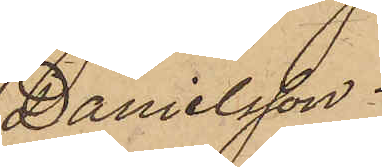Danielsson.
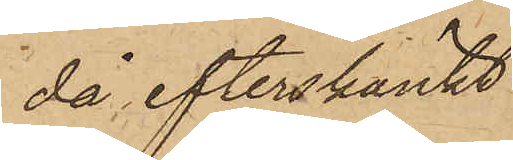då efterskänkt
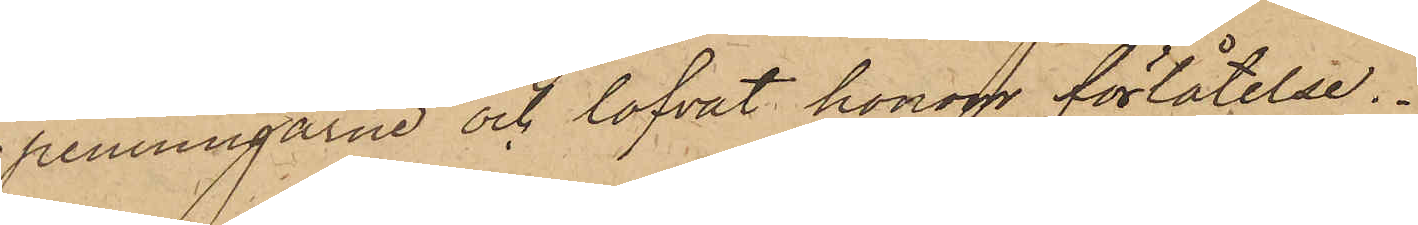penningarne och lofvat honom förlåtelse.
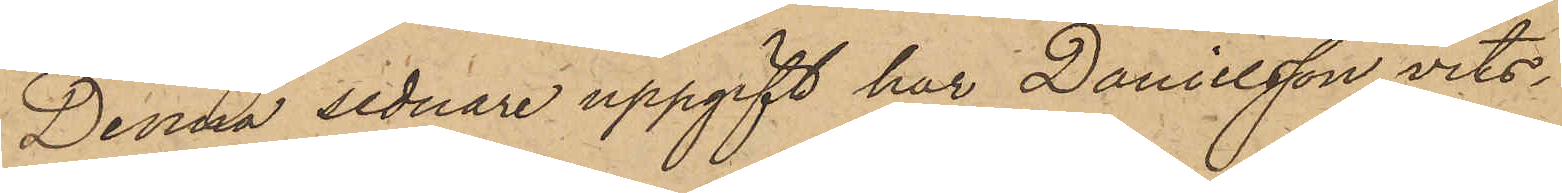Denna sednare uppgift har Danielsson vits¬
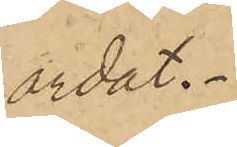ordet.
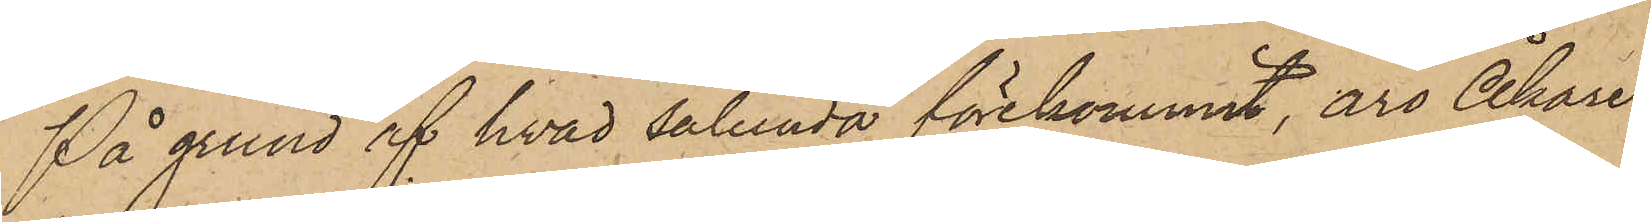På grund af hvad sålunda förekommit, äro Åkare¬
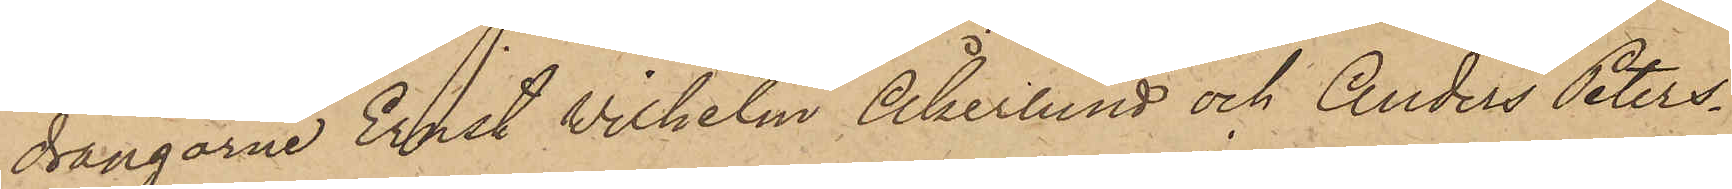drängarne Ernst Wilhelm Åkerlund och Anders Peters¬
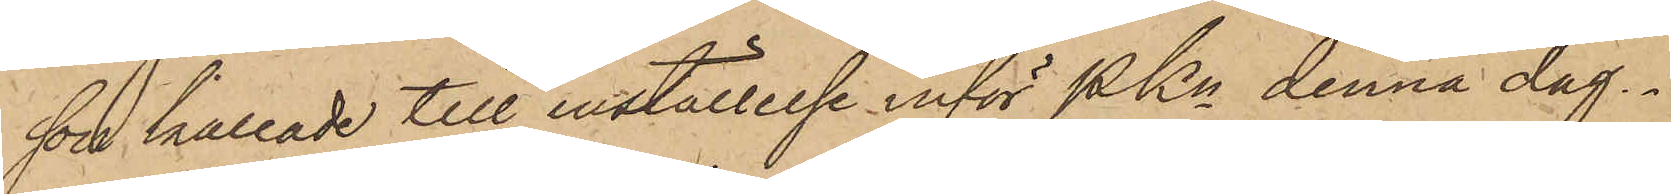son kallade till inställelse inför Pkn denna dag.
